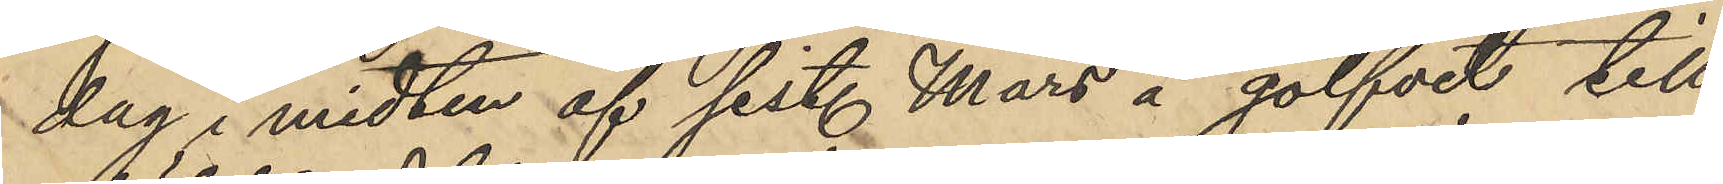dag i midten af sist. Mars å golfvet till
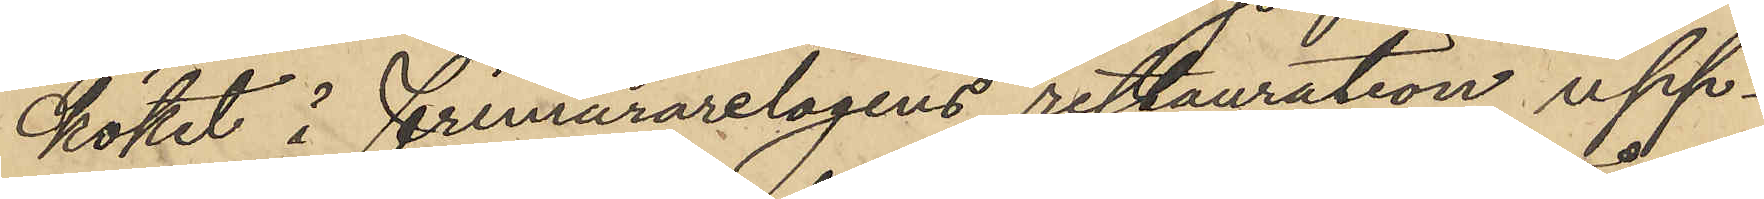köket å frimurarelogens restauration upp¬
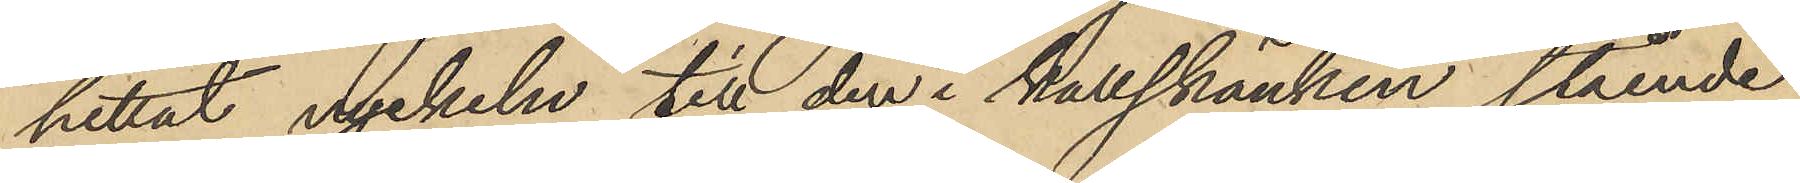hittat nyckeln till den i kallskänken stående
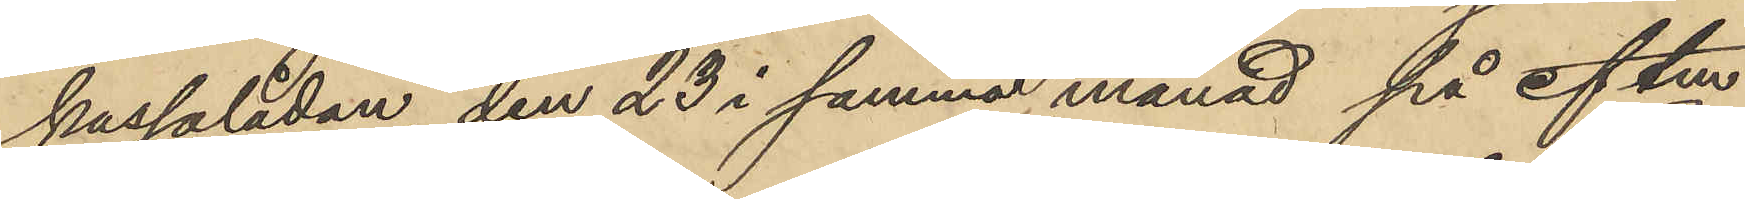kassalådan, den 23 i samma månad på eftm
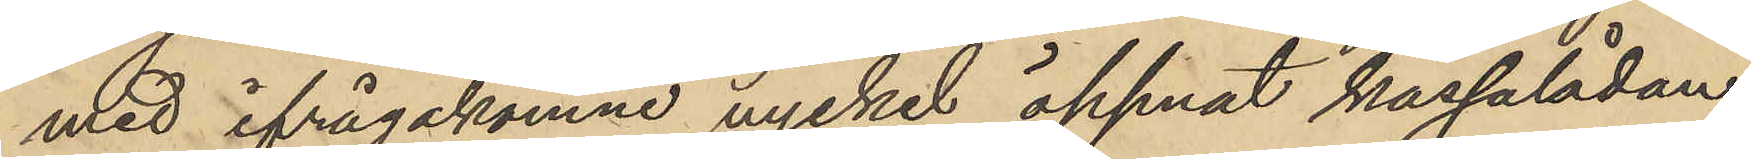med ifrågakomne nyckel öppnat kassalådan
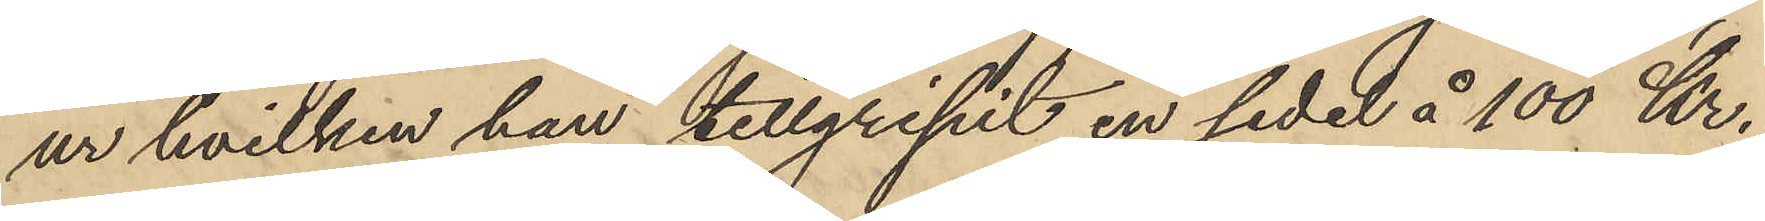ur hvilken han tillgripit en sedel å 100 Kr.
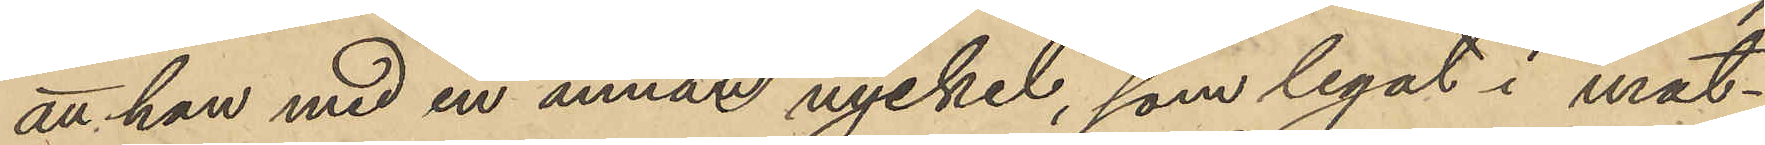att han med en annat nyckel, som legat i mat¬
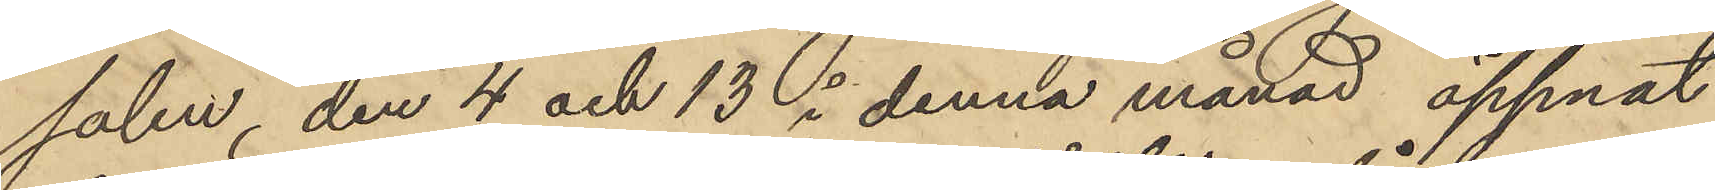salen, den 4 och 13 i denna månad öppnat
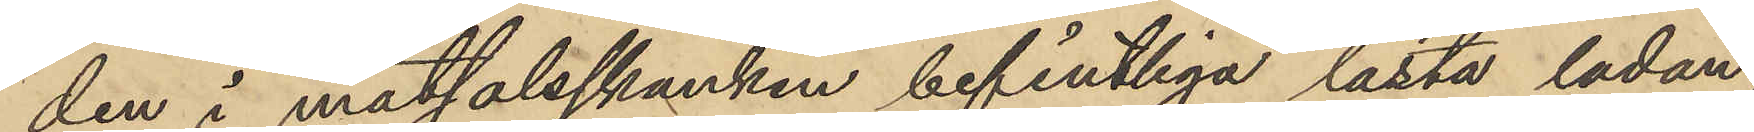den i matsalsskanken befintliga låsta ladan,
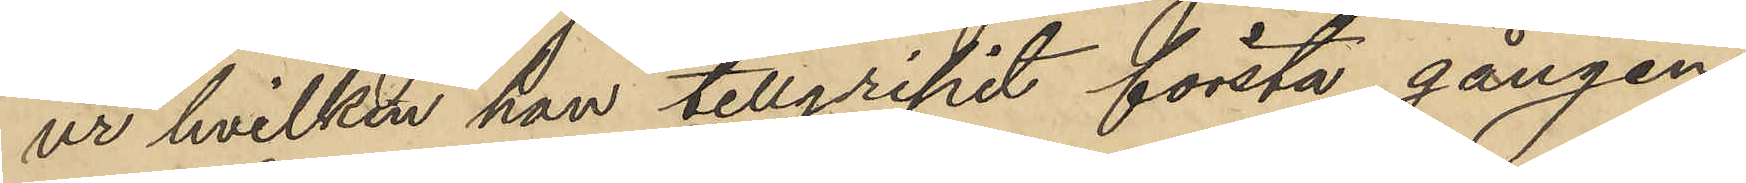ur hvilken han tillgripit första gången
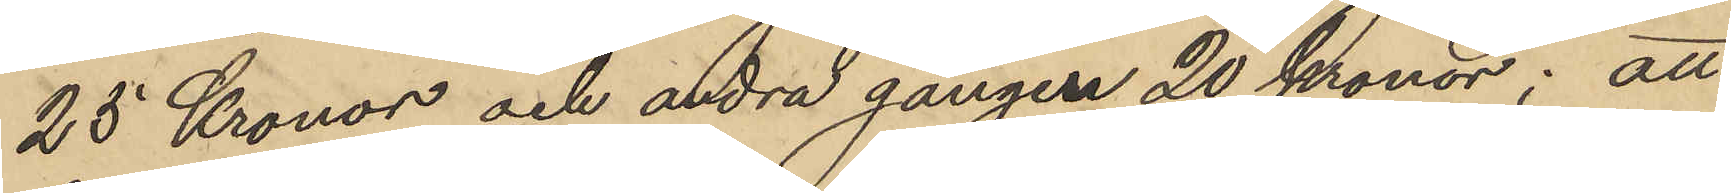25 Kronor och andra gången 20 Kronor; att
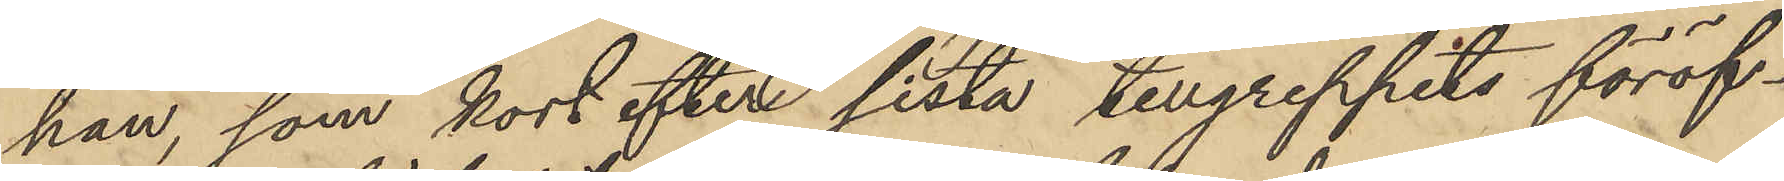han, som kort efter sista tillgreppets föröf¬
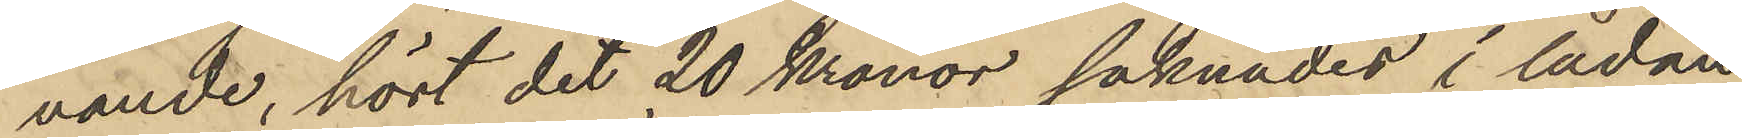vande, hört det 20 Kronor saknades i lådan
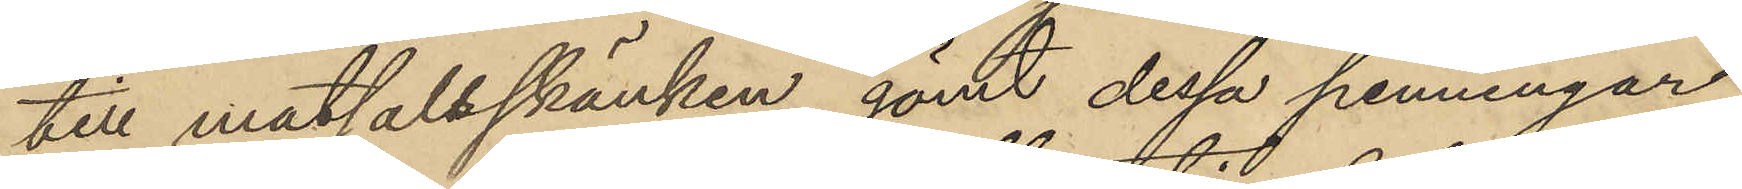till matsalsskänken gömt dessa penningar
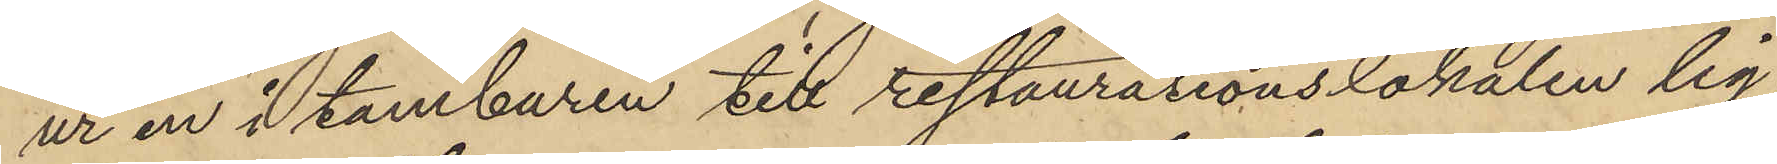ur en i tamburen till restaurationslokalen lig¬
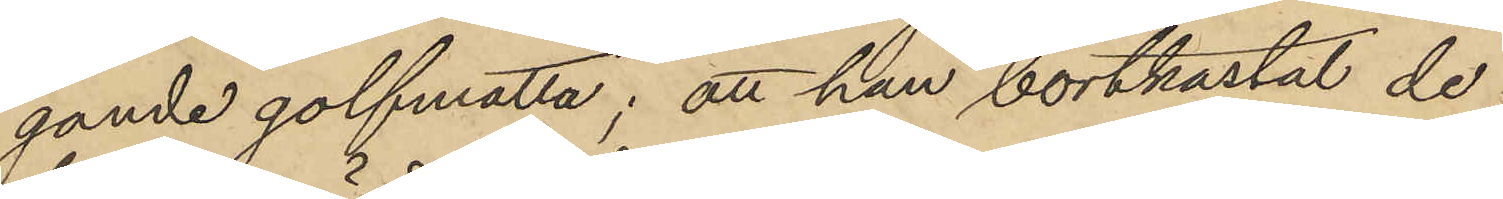gande golfmatta; att han bortkastat de
